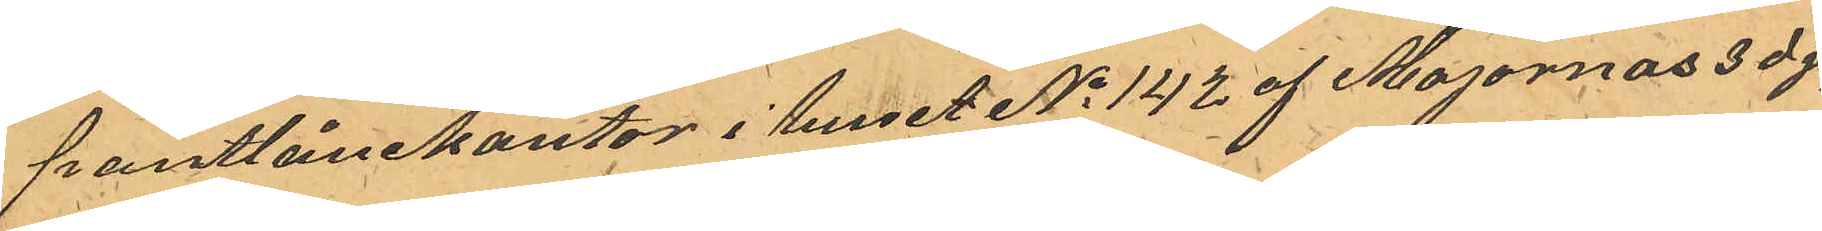pantlånekontor i huset No 142 af Majornas 3dje
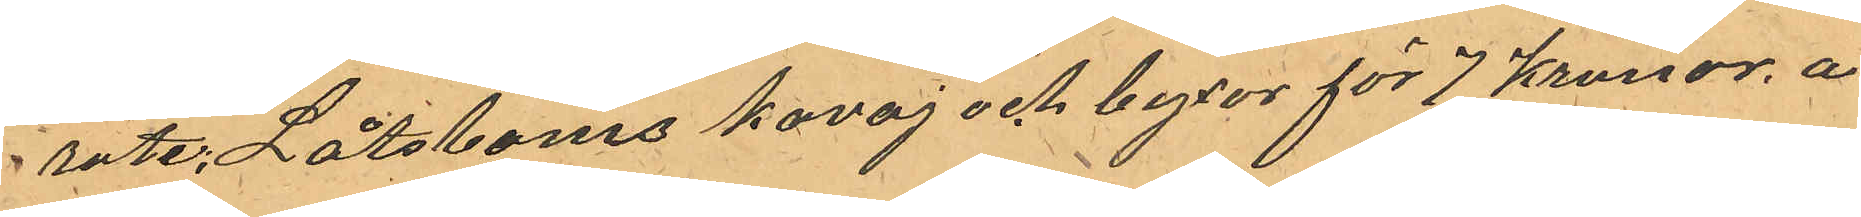rote, Låtsboms kavaj och byxor för 7 Kronor å
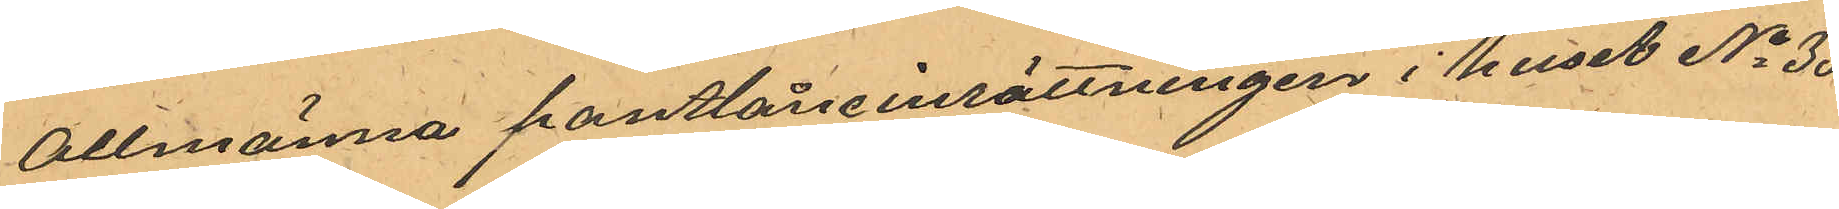Allmänna pantlåneinrättningen i Huset No 35 
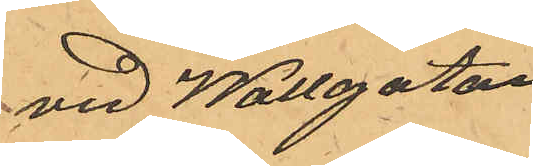vid Wallgatan.
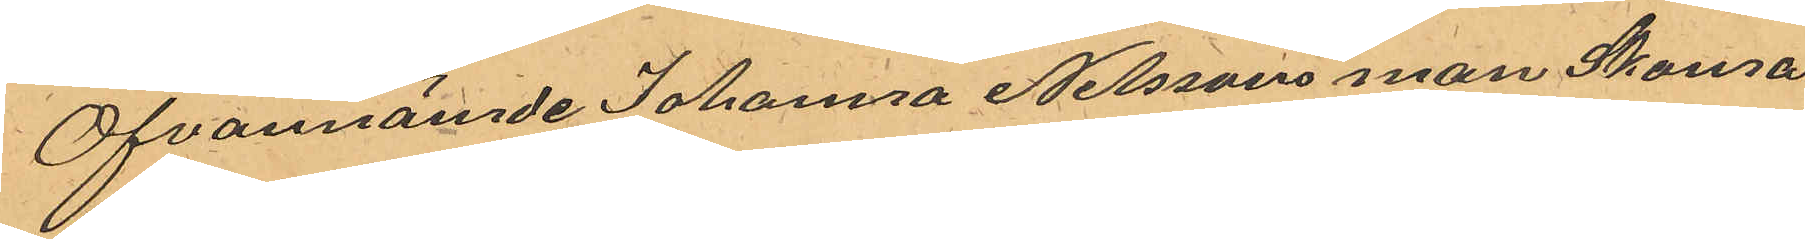Ofvannämde Johanna Nilssons man Skoma¬
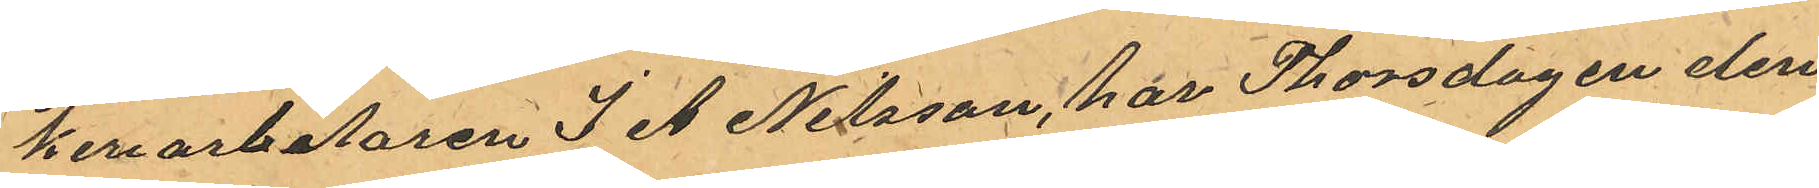keriarbetaren J A Nilsson, har Thorsdagen den
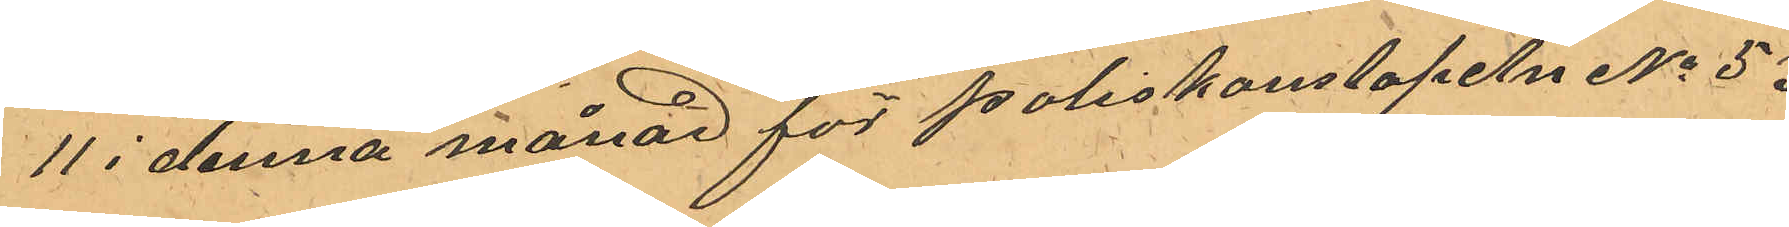11 i denna månad för Poliskonstapeln No 53
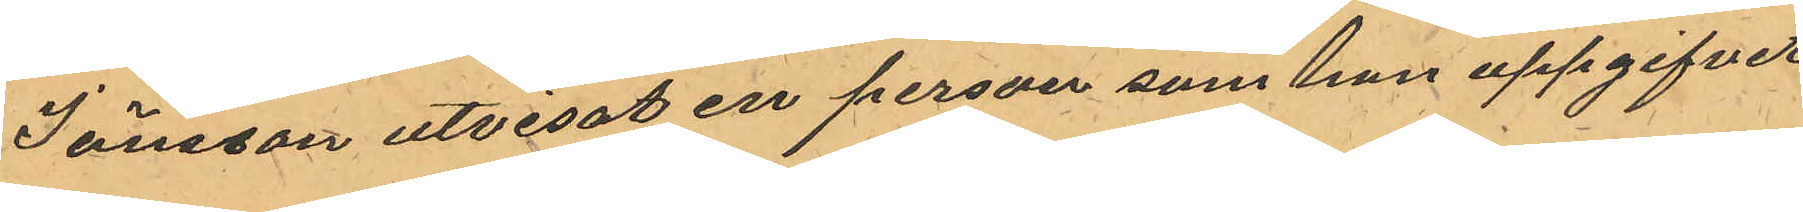Jönsson utvisat en person som han uppgifvit
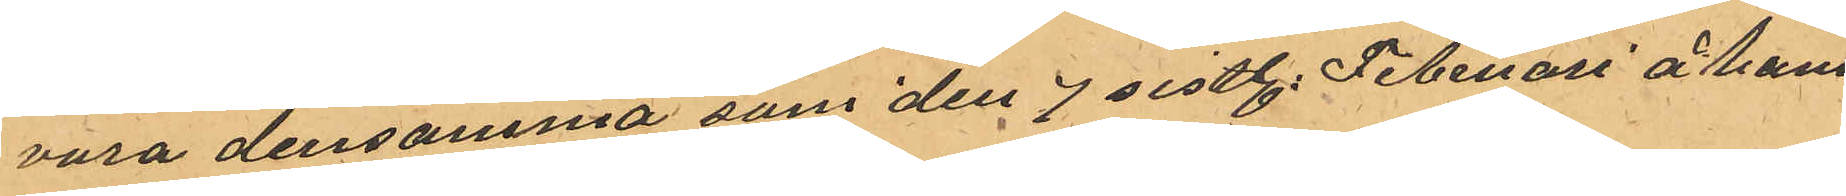vara densamma som den 7 sistl. Februari å hans
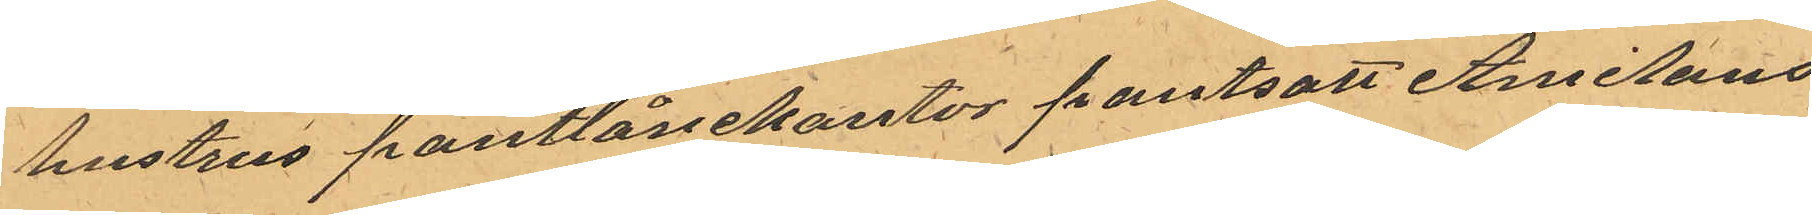hustrus pantlånekontor pantsatt Amilons
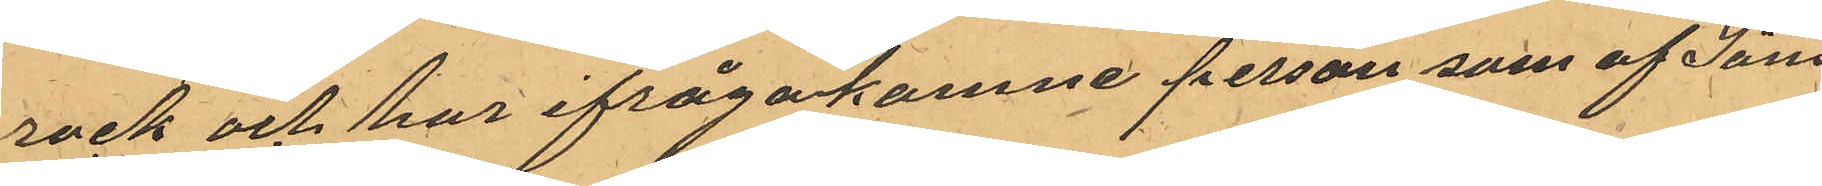rock och har ifrågakomne person som af Jöns¬
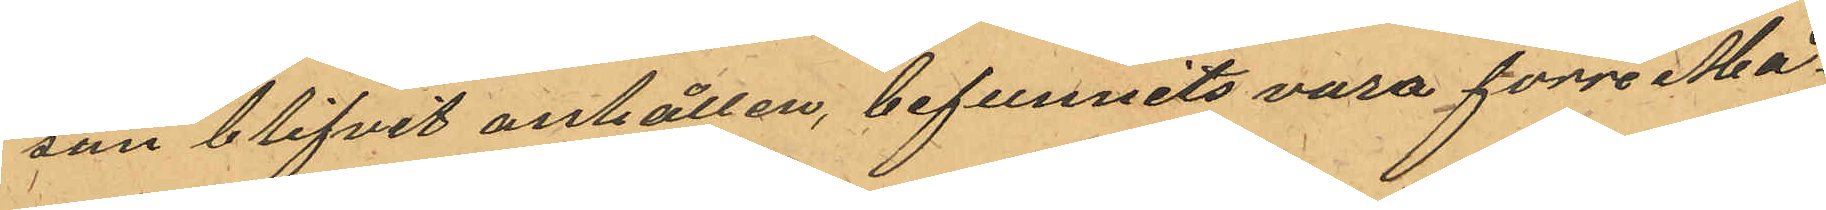son blifvit anhållen, befunnits vara förre Må¬
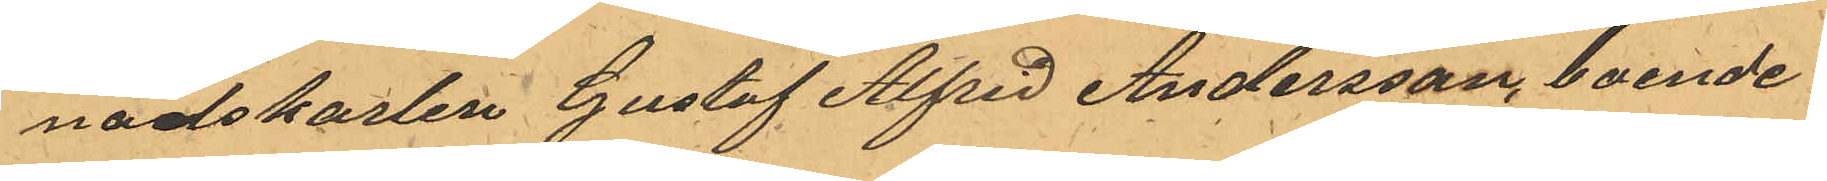nadskarlen Gustaf Alfrid Andersson, boende i
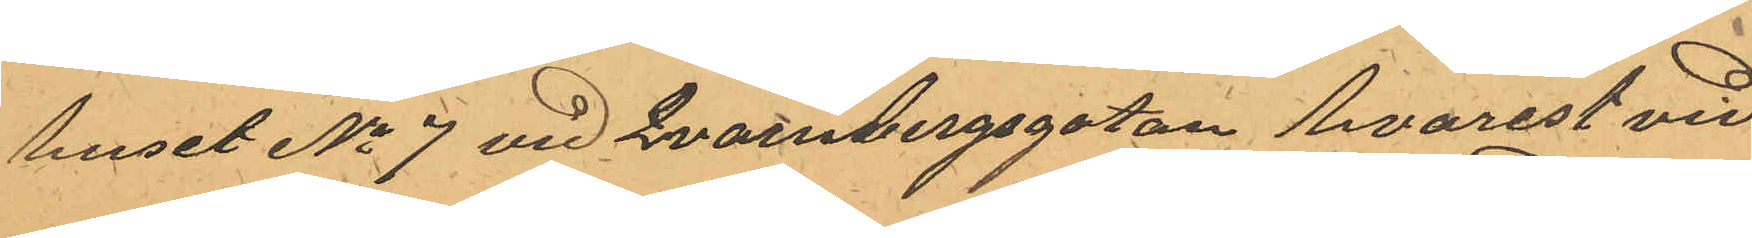huset No 7 vid Qvarnbergsgatan hvarest vid
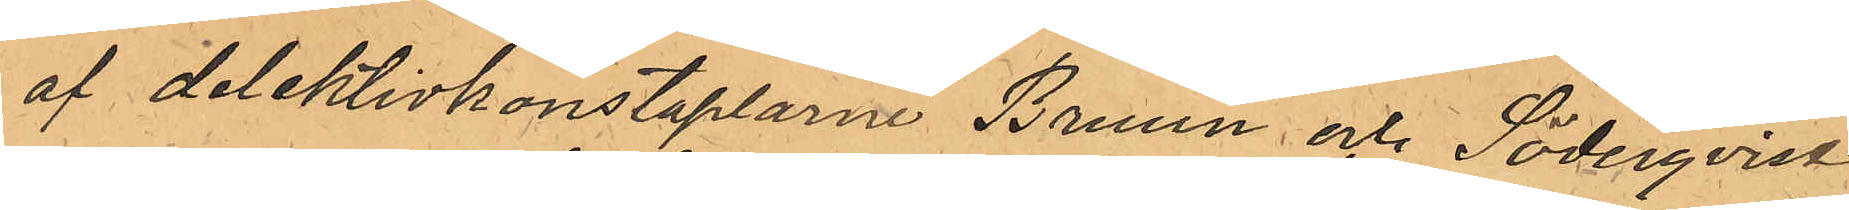af detektivkonstaplarne Bruun och Söderqvist
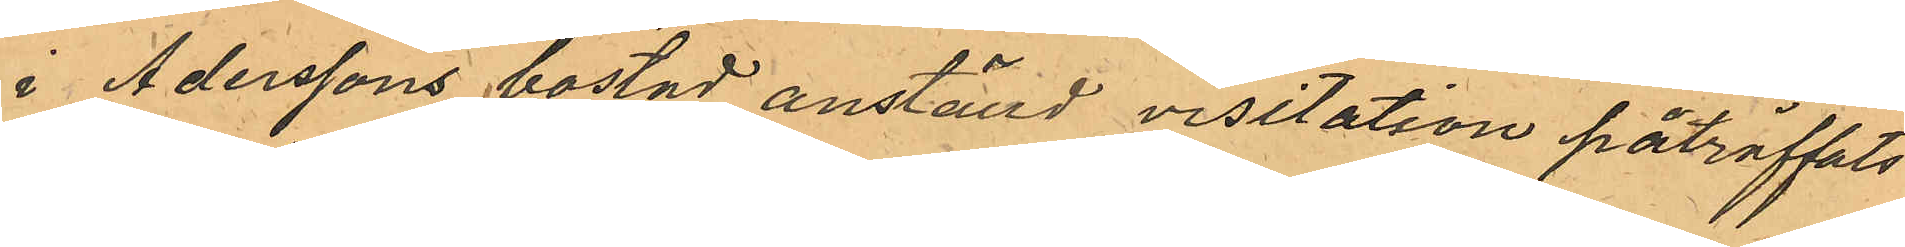 i Aderssons bostad anställd visitation påträffats
